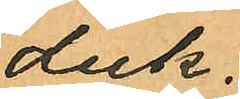duk.
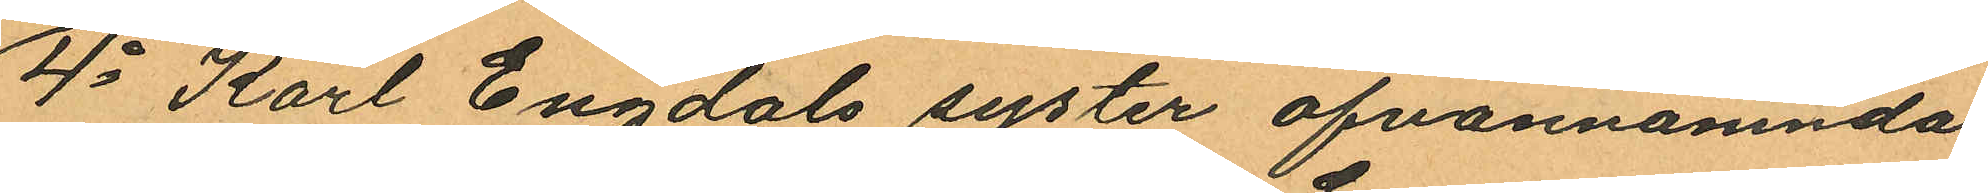4o Karl Engdals syster ofvannämnda
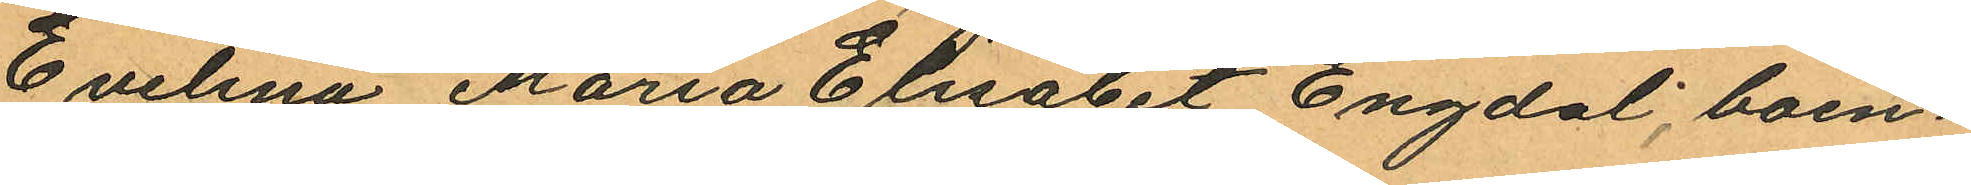Evelina Maria Elisabet Engdal, boen¬
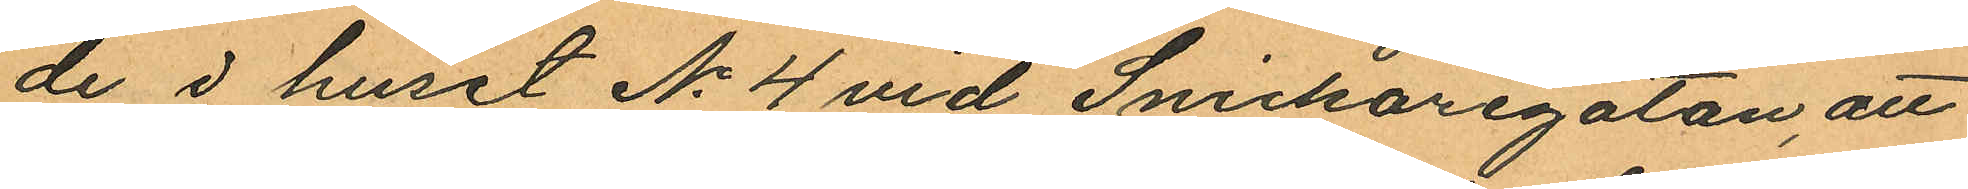de i huset No 4 vid Snickaregatan, att
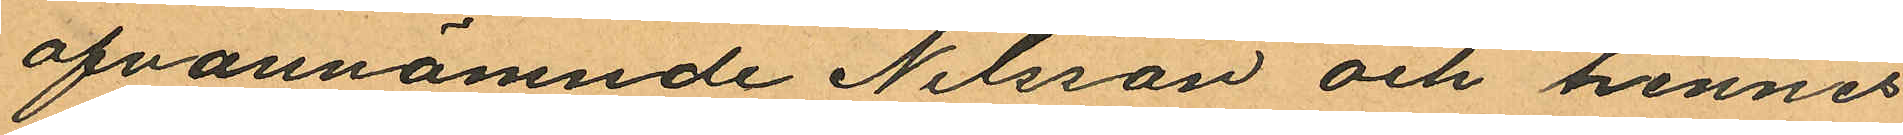ofvannämnde Nilsson och hennes
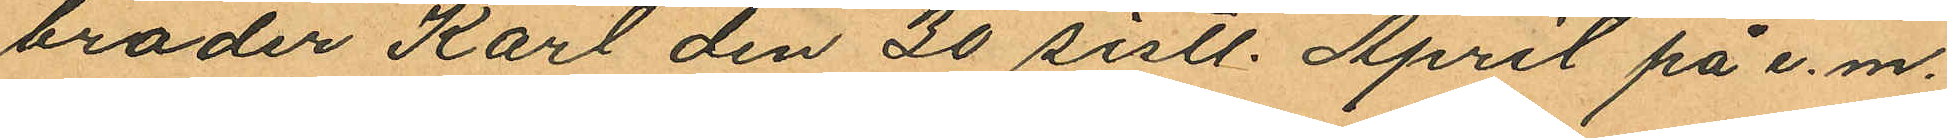broder Karl den 30 sistl. April på e.m.
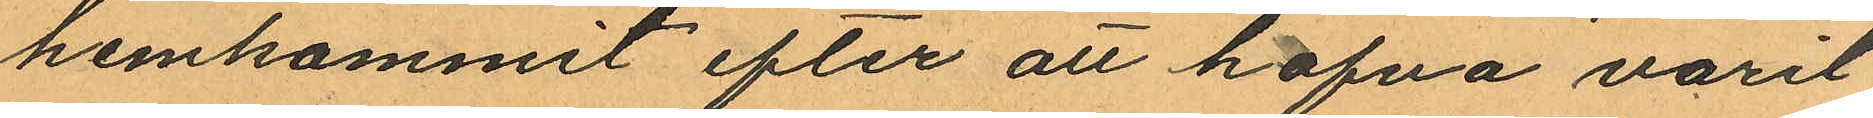hemkommit efter att hafva varit
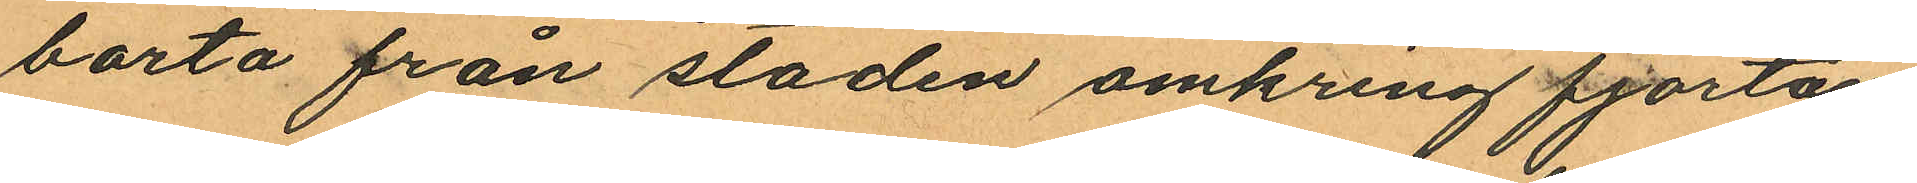borta från staden omkring fjorton
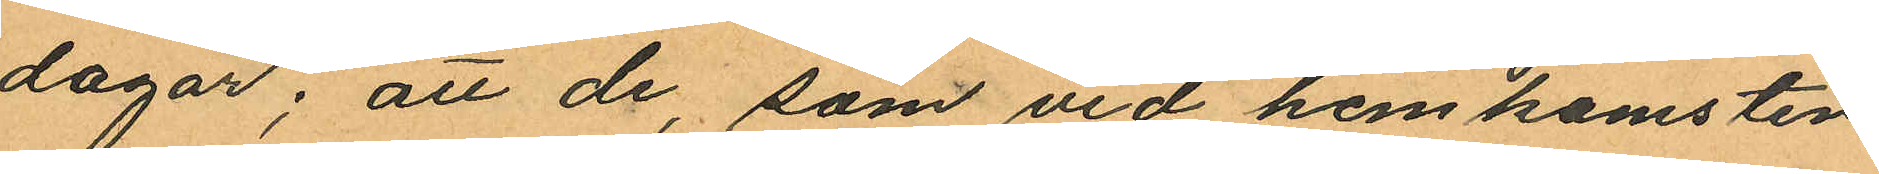dagar; att de, som vid hemkomsten
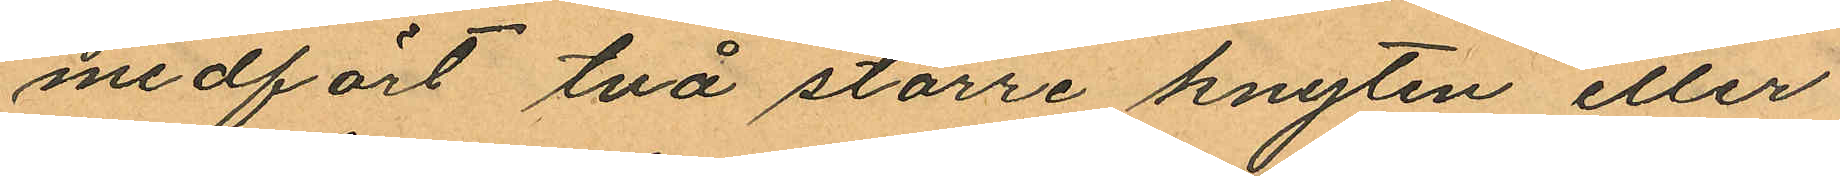medfört två större knyten eller
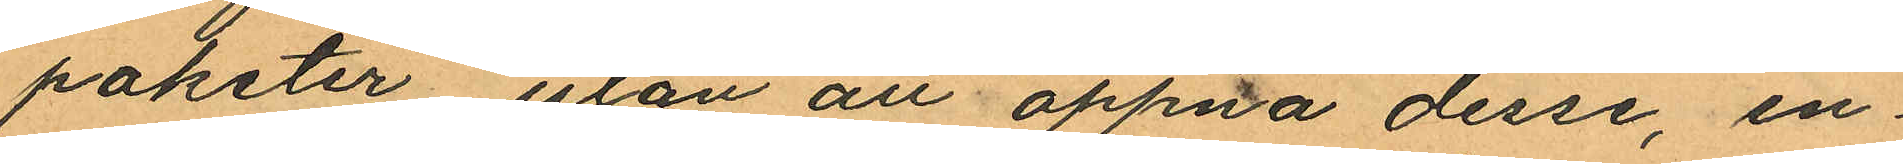paketer utan att öppna desse, en¬
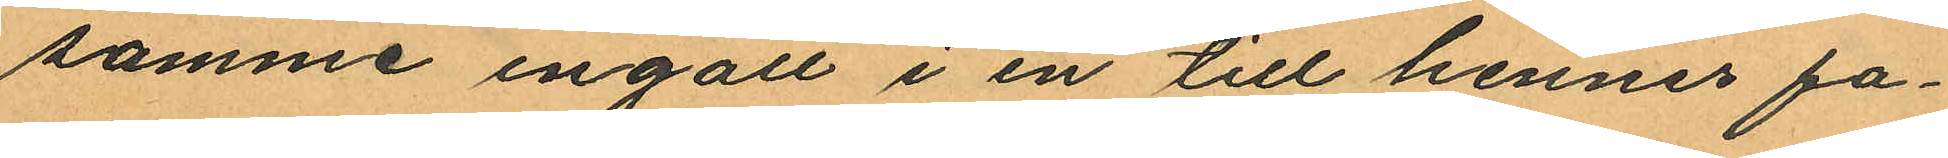samme ingått i en till hennes fa¬
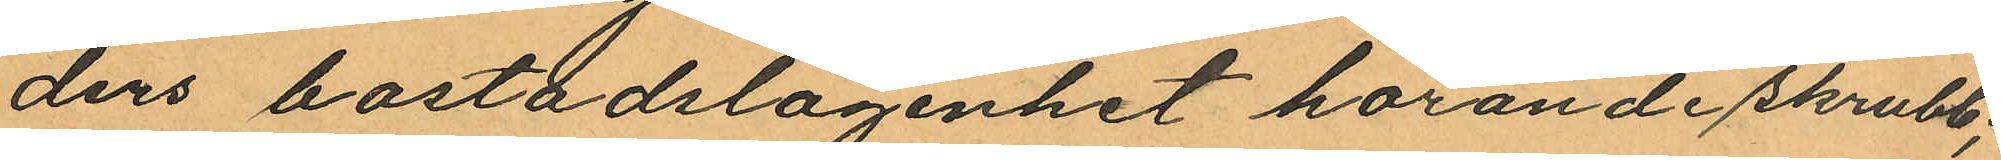ders bostadslägenhet hörande skrubb;
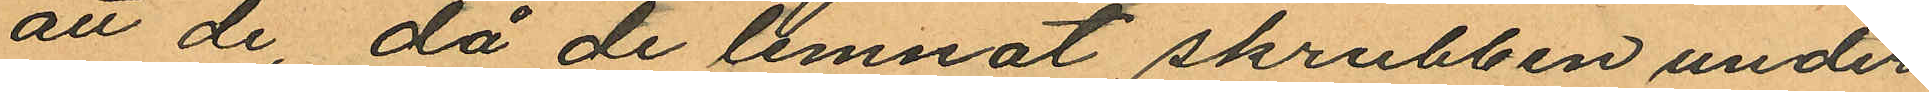att de, då de lemnat skrubben under
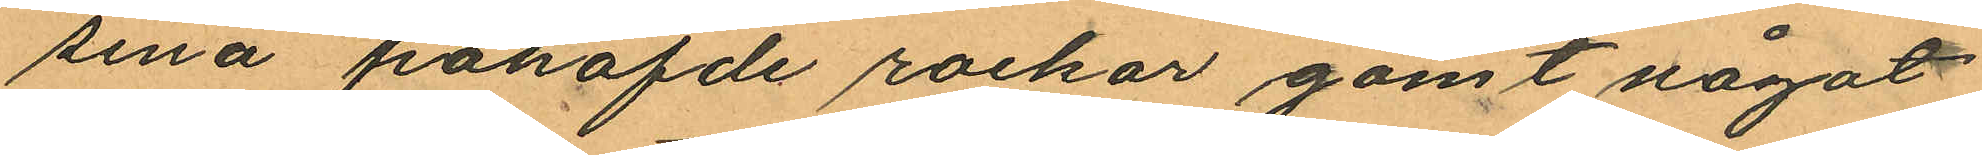sina påhafde rockar gömt något
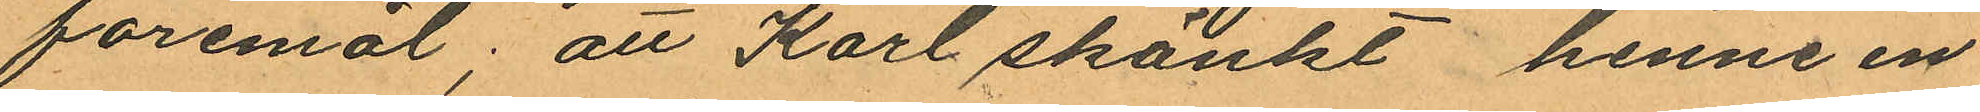föremål; att Karl skänkt henne en
